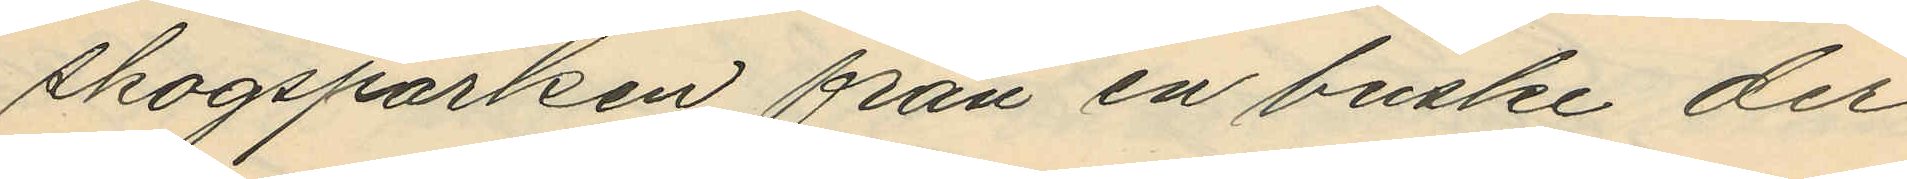skogsparken från en buske der¬
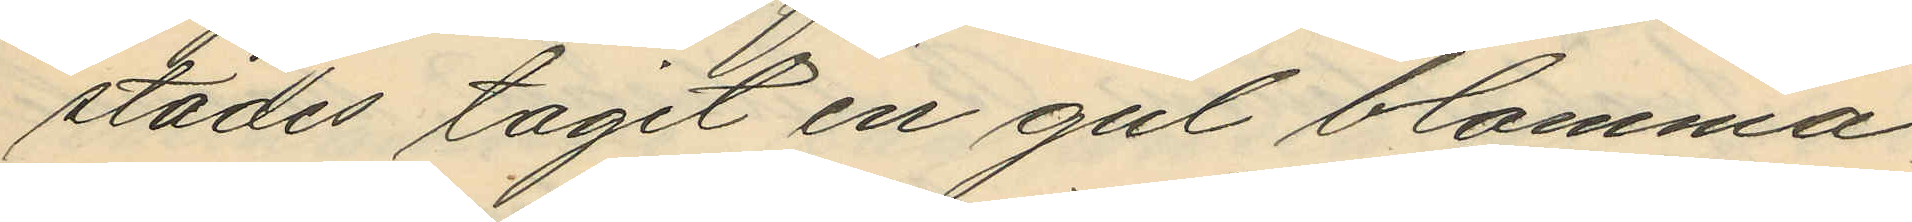städes tagit en gul blomma,
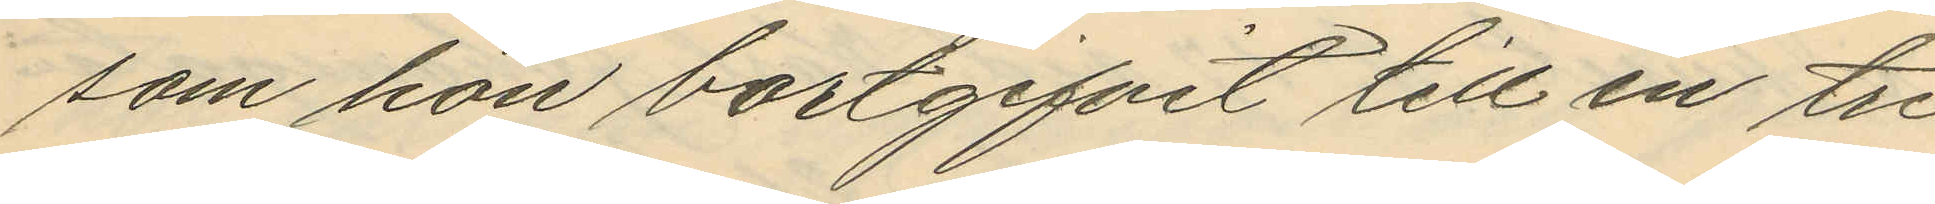som hon bortgifvit till en tre
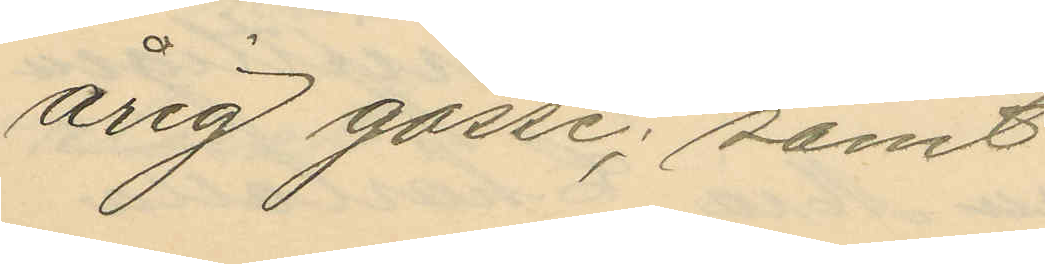årig gosse; samt
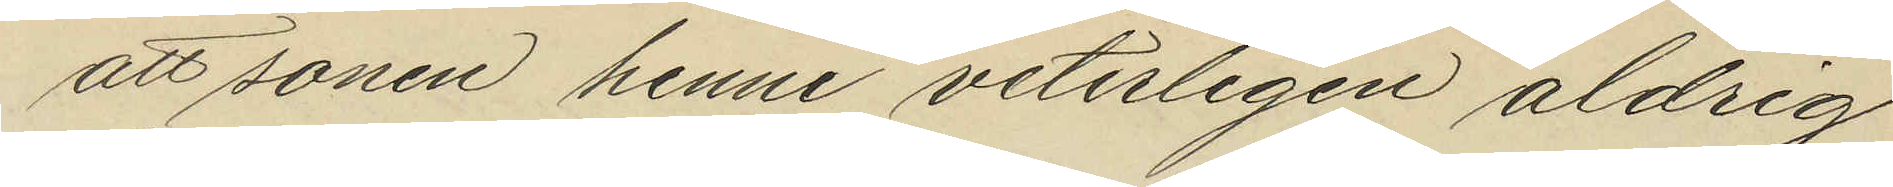att sonen henne veterligen aldrig
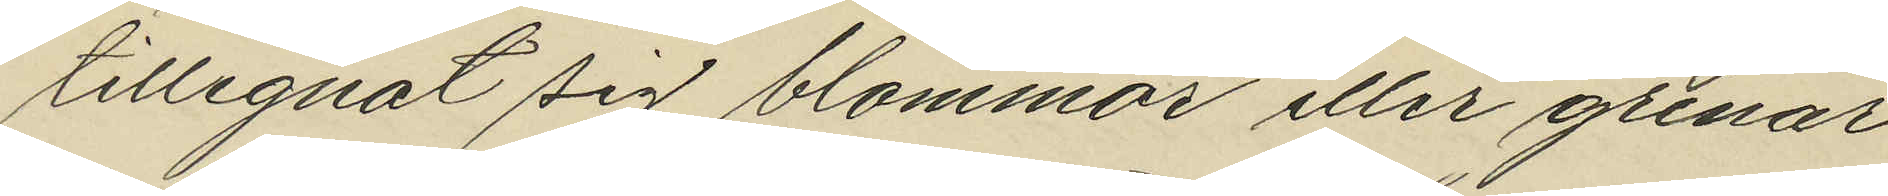tillegnat sig blommor eller grenar
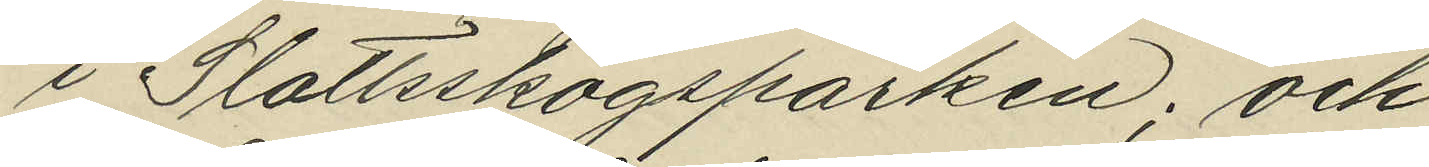i Slottsskogsparken; och
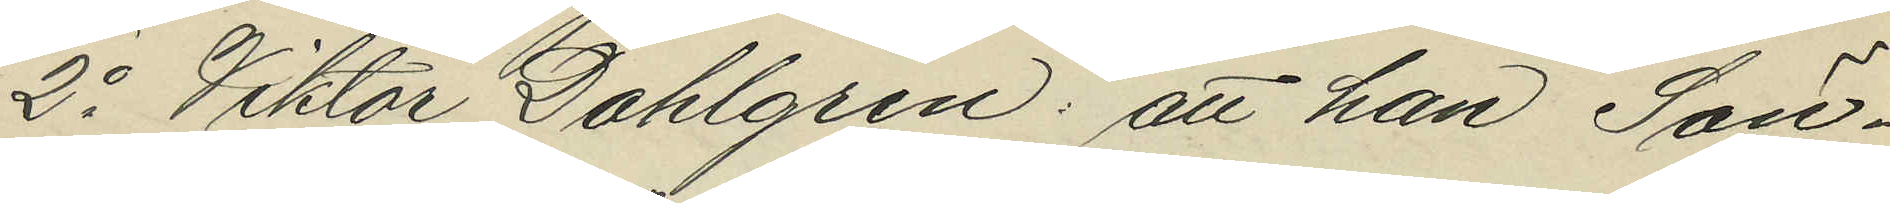2o Viktor Dahlgren: att han Sön¬
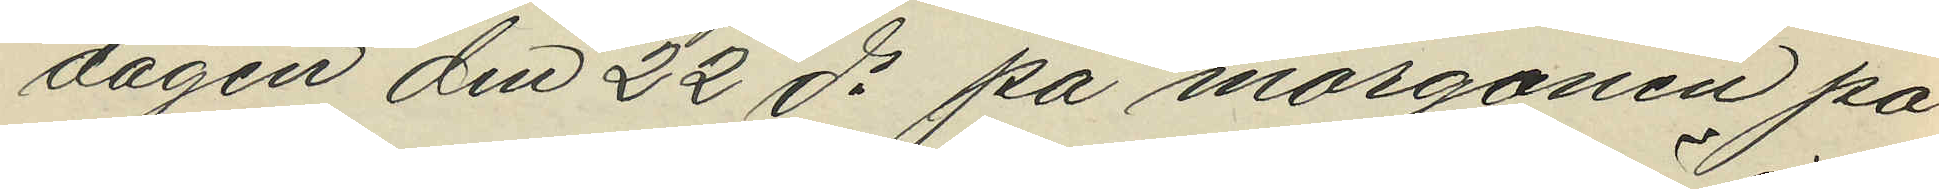dagen den 22 ds på morgonen på
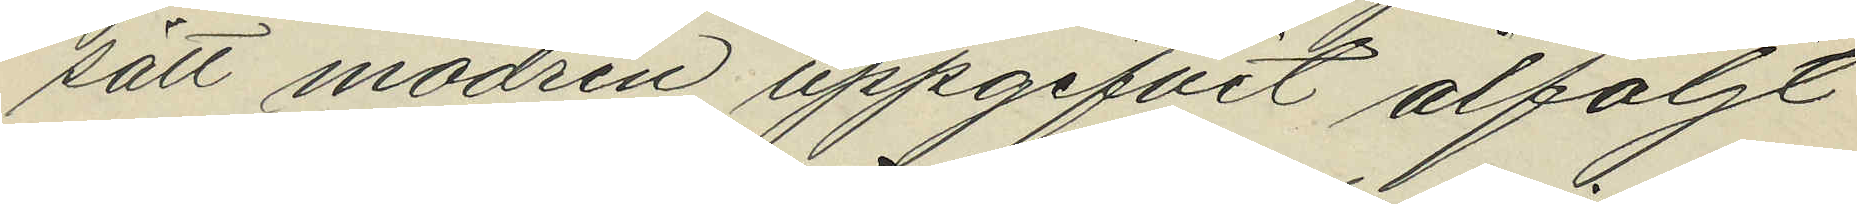sätt modren uppgifvit åtföljt
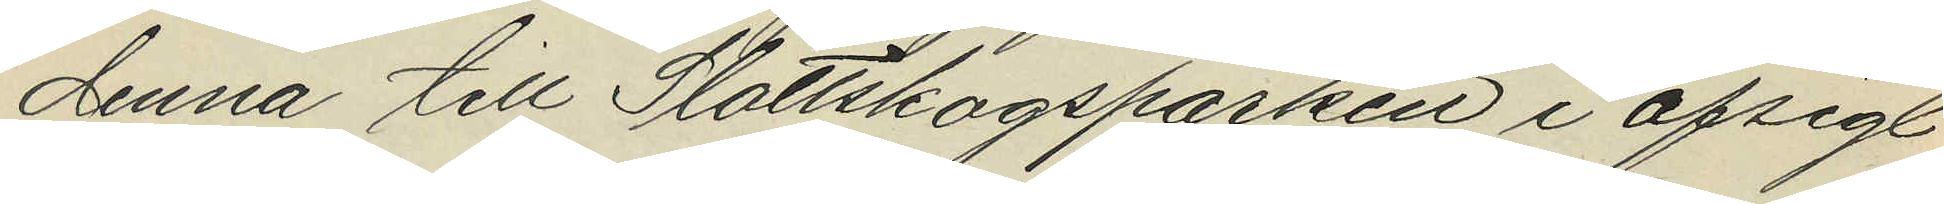denna till Slottskogsparken i afsigt
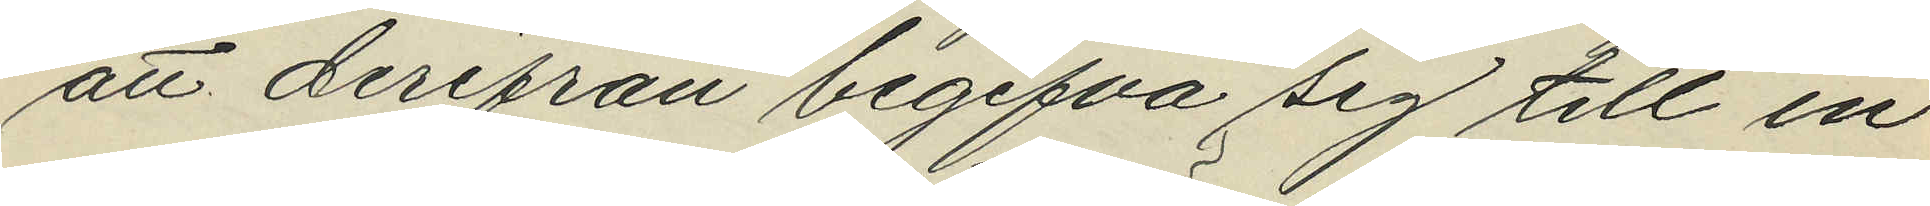att derifrån begifva sig till en
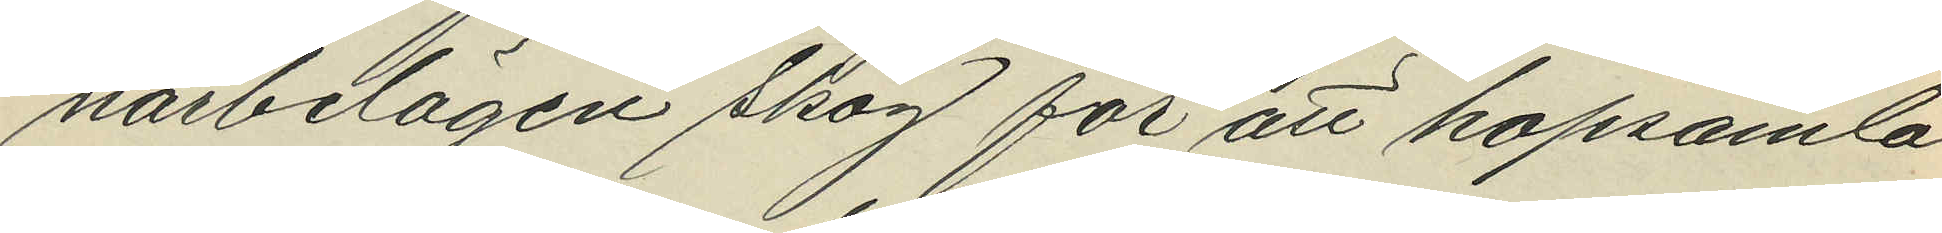närbelägen skog för att hopsamla
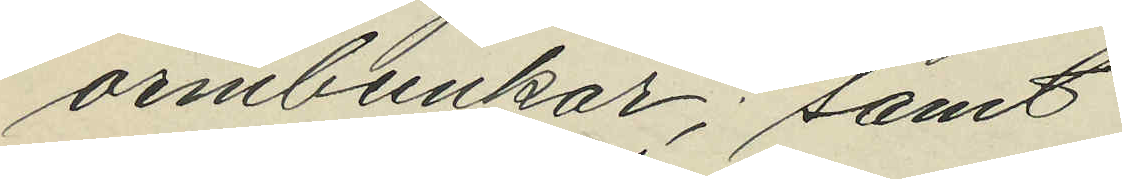ormbunkar; samt
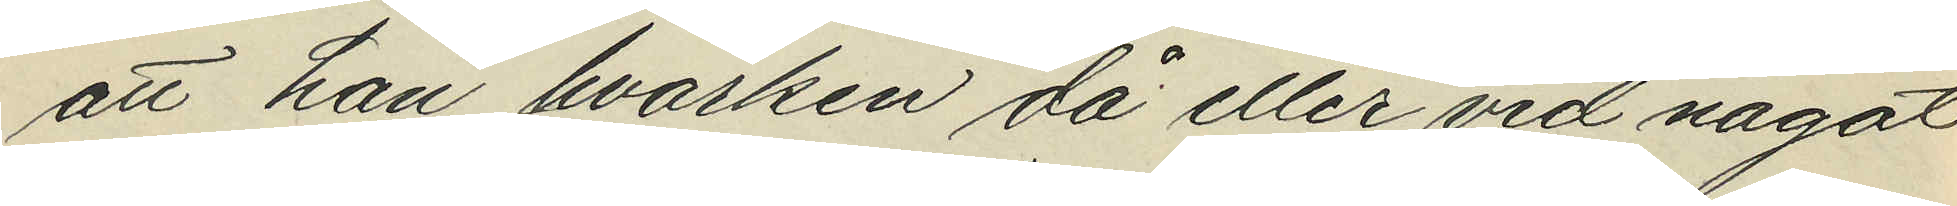att han hvarken då eller vid något
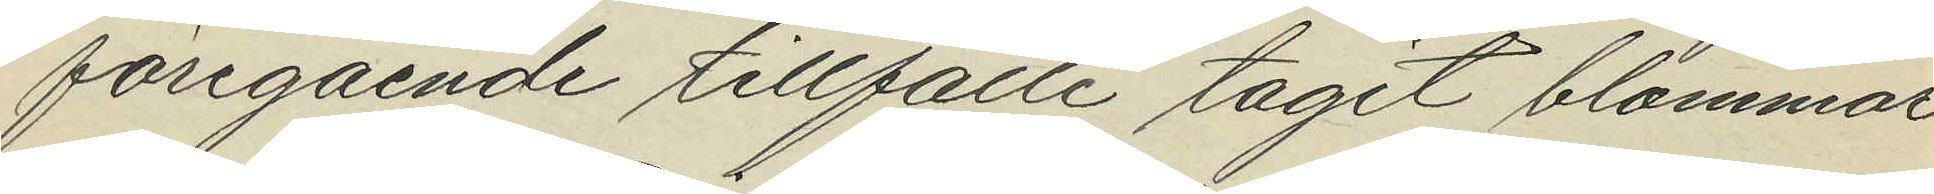föregående tillfälle tagit blommor
